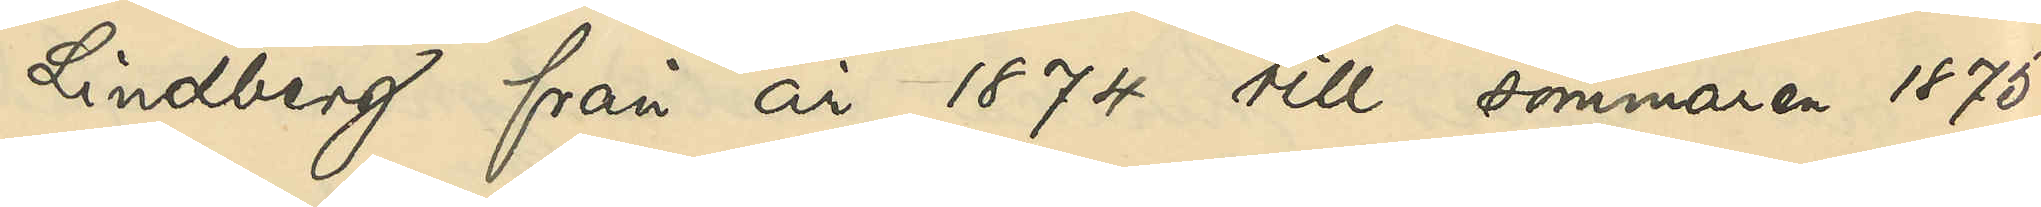Lindberg från år 1874 till sommaren 1875
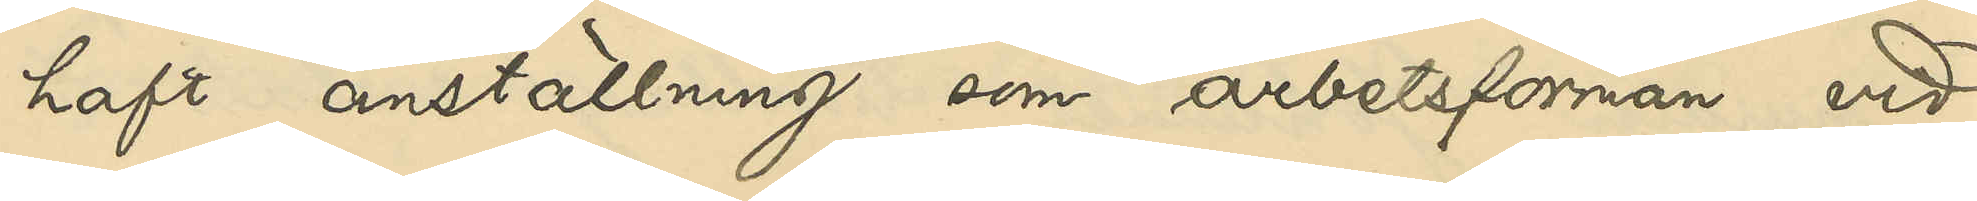haft anställning som arbetsförman vid
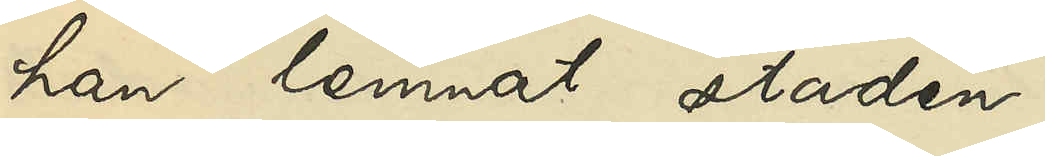han lemnat staden.
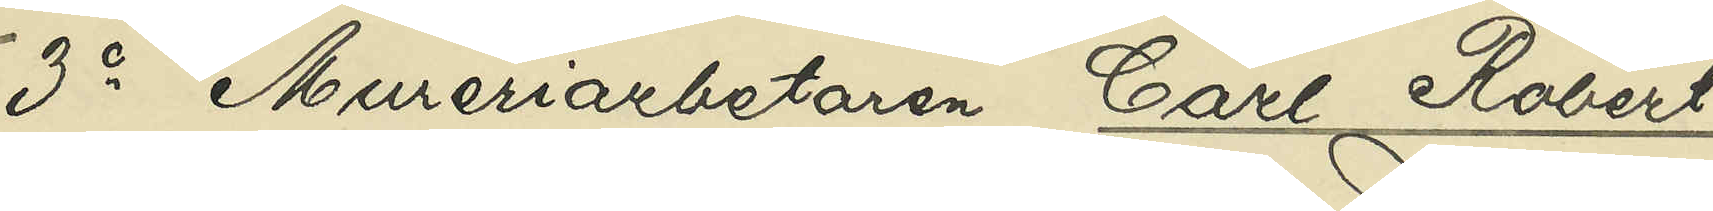3o Mureriarbetaren Carl Robert
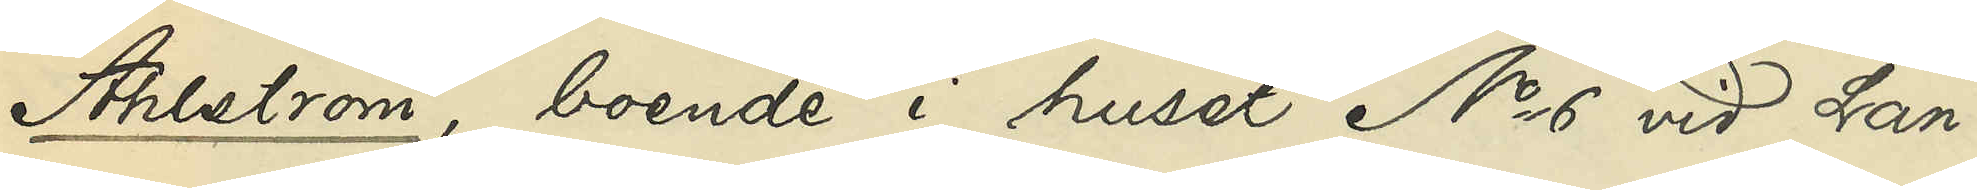Ahlström, boende i huset No 6 vid Lan¬
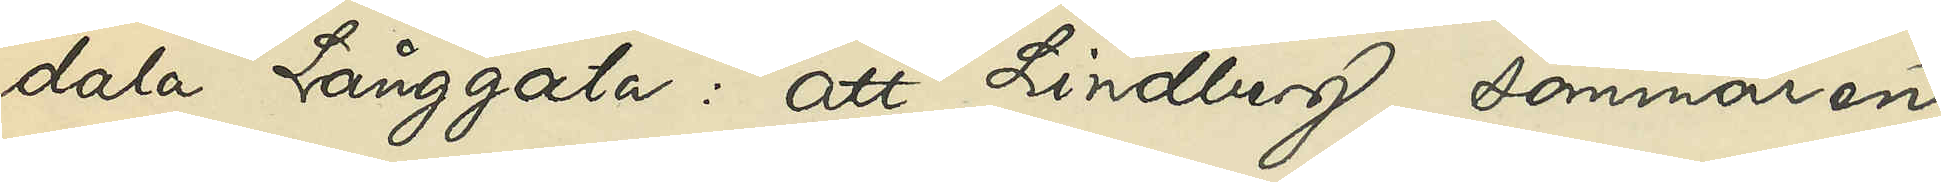dala Långgata: att Lindberg sommaren
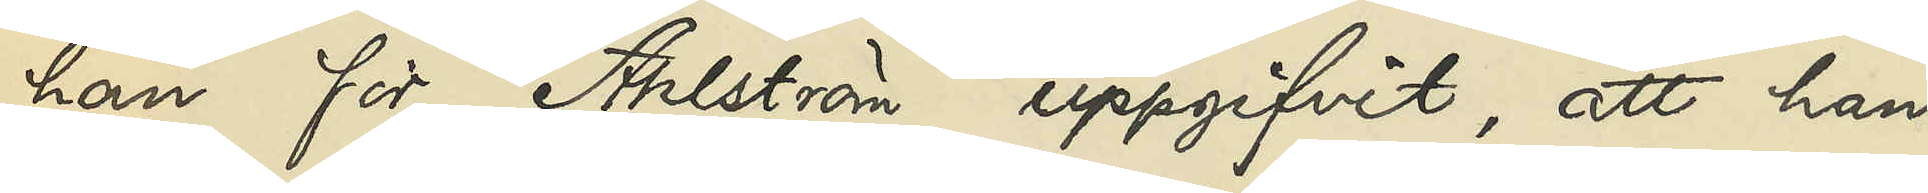han för Ahlström uppgifvit, att han
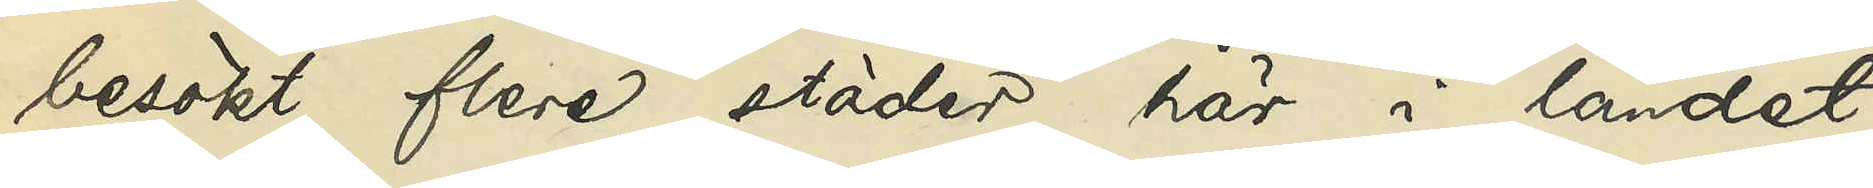besökt flere städer här i landet
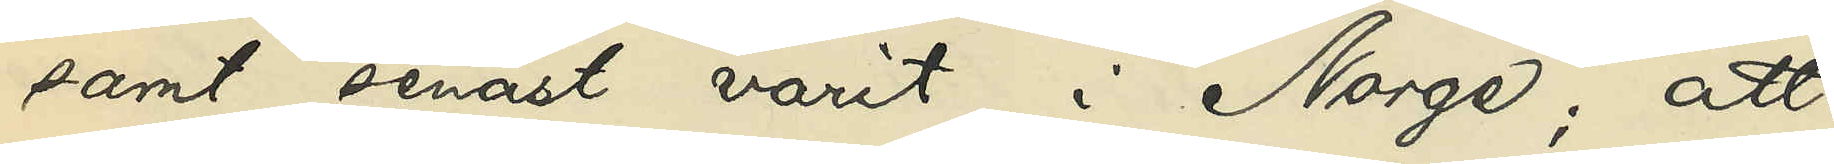samt senast varit i Norge; att
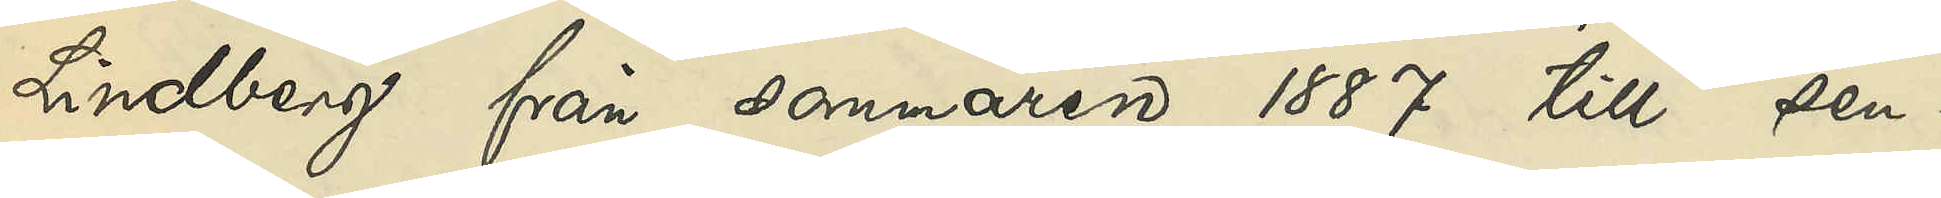Lindberg från sommaren 1887 till sen¬
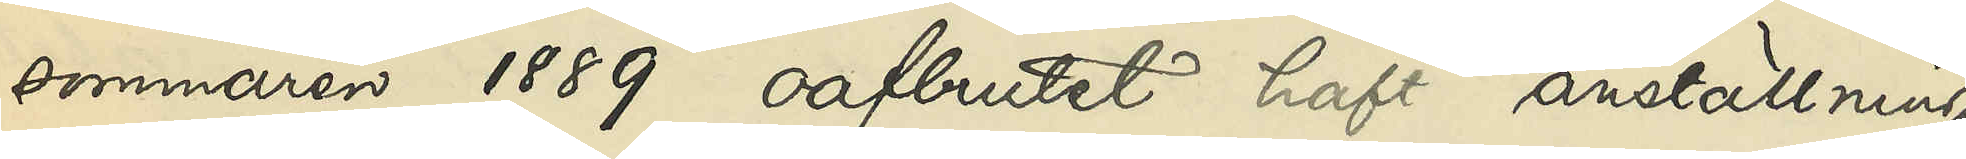sommaren 1889 oafbrutet haft anställning
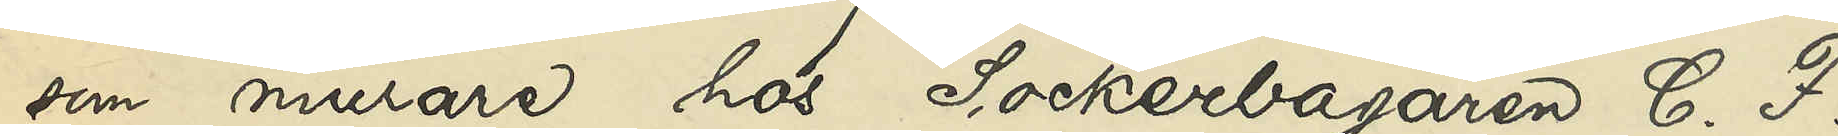som murare hos Sockerbagaren C. F.
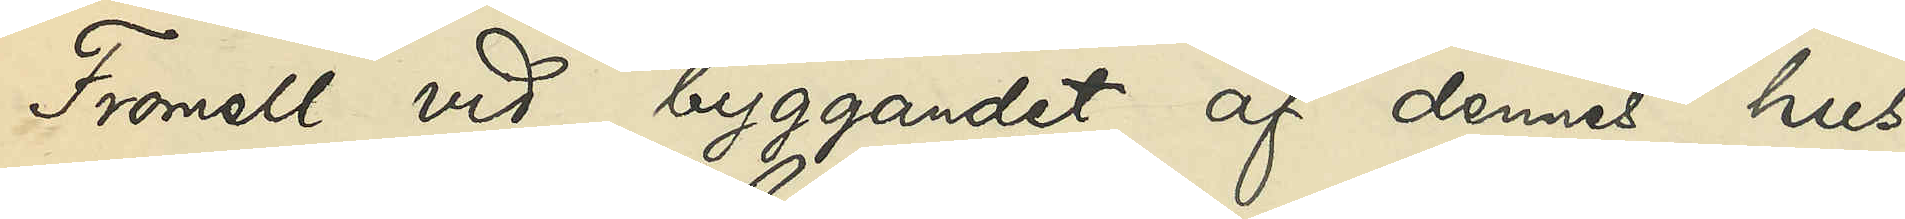Fromell vid byggandet af dennes hus
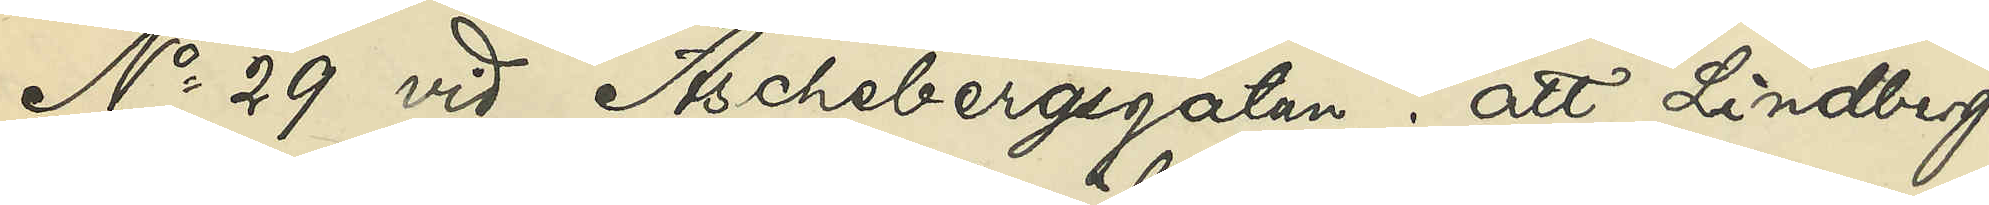No 29 vid Aschebergsgatan; att Lindberg
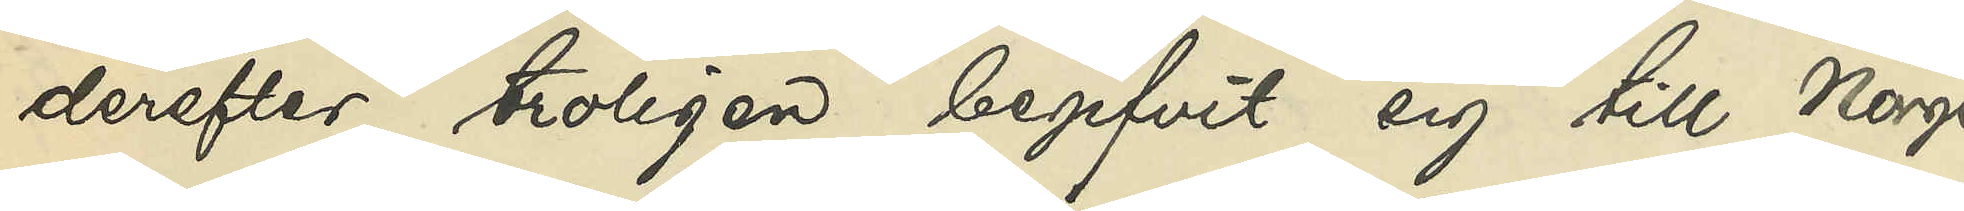derefter troligen begifvit sig till Norge
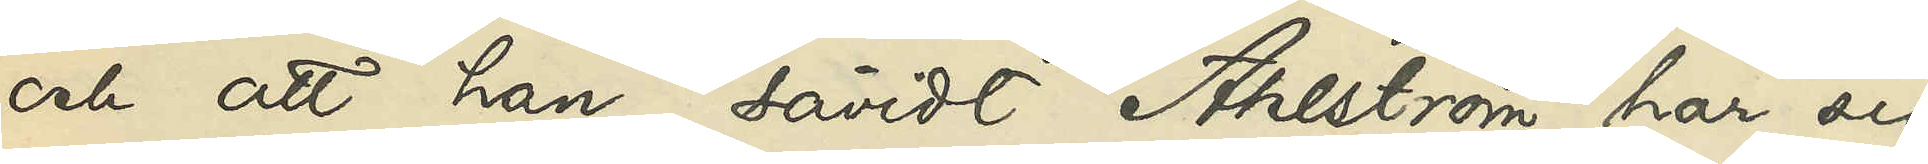och att han, såvidt Ahlström har sig
